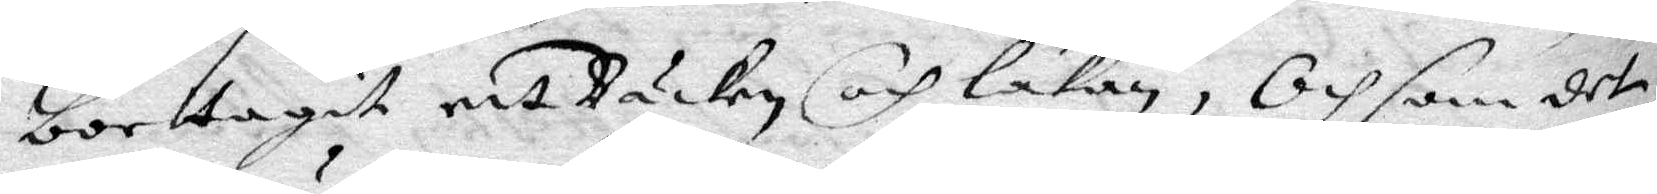borttagit ett Bäcken och lakan, Och som det
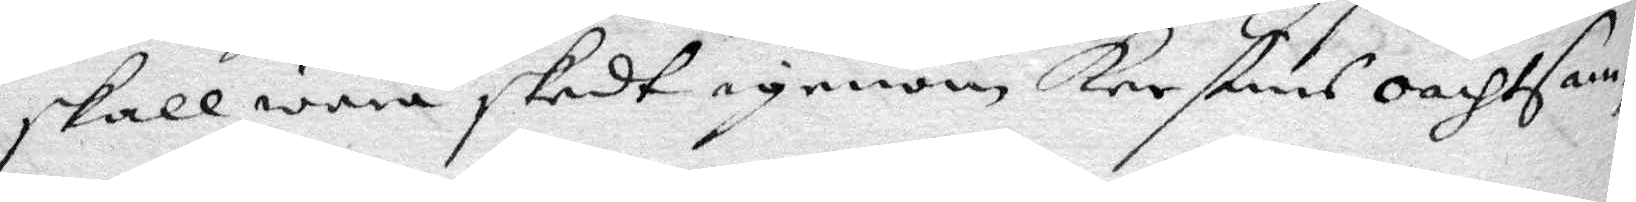skall wara skedt igenom Kerstins oachtsam¬
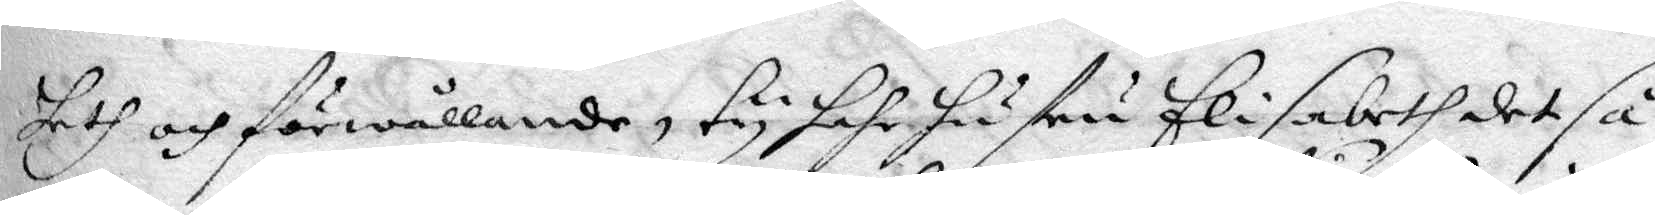heth och förwållande, ty hahr hustru Elisabeth det så
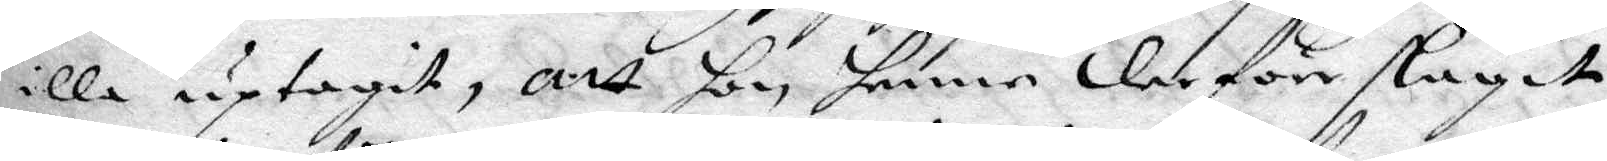illa uptagit, att hon henne derföre slagit
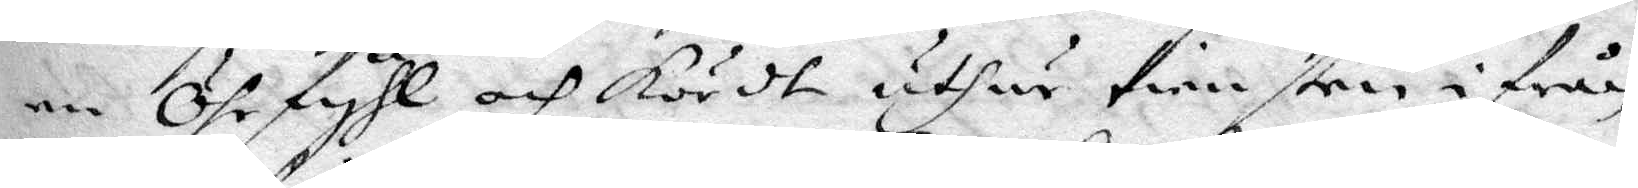en Öhrfyhl och kördt uthur tiensten ifrån
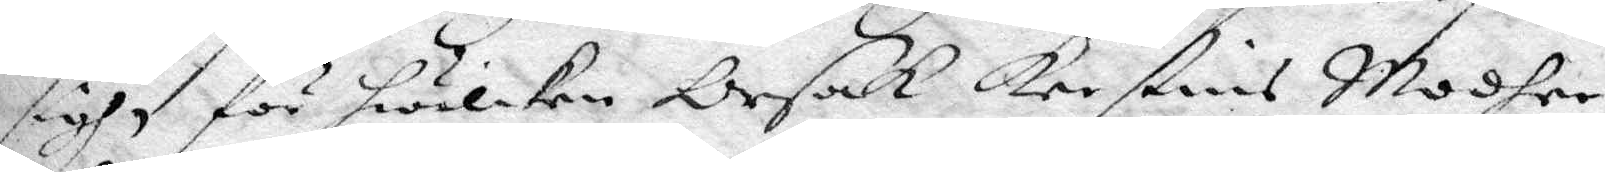sigh, för hwilken Orsak Kerstins Modher
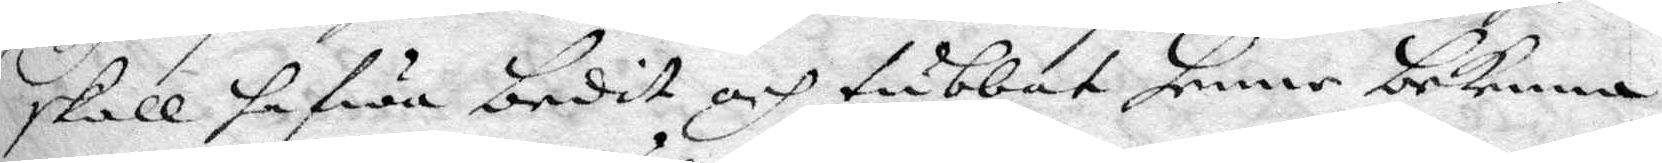skall hafwa bedit och tubbat henne bekenna
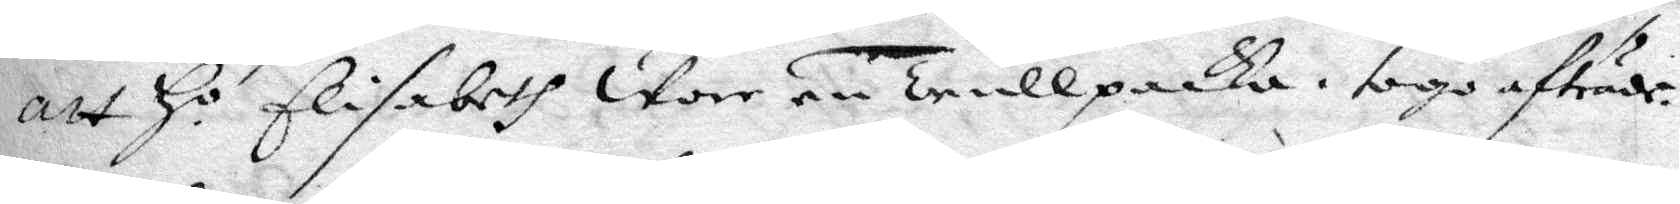att Ho Elisabeth Wore en Trullpacka, togo afträde. 
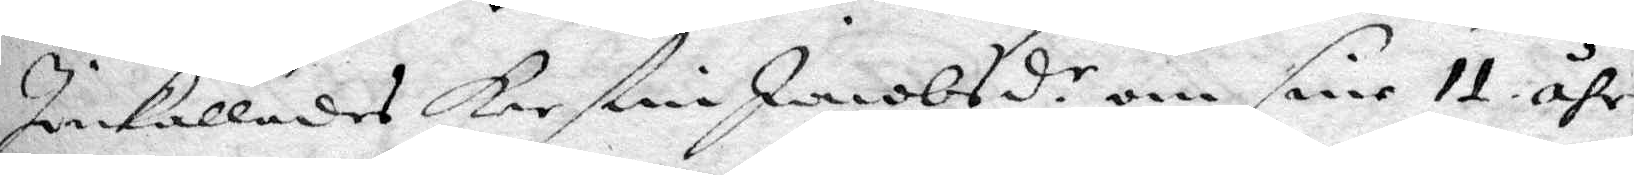Inkallades Kerstin Jacobsd.r om sine 11 åhr 
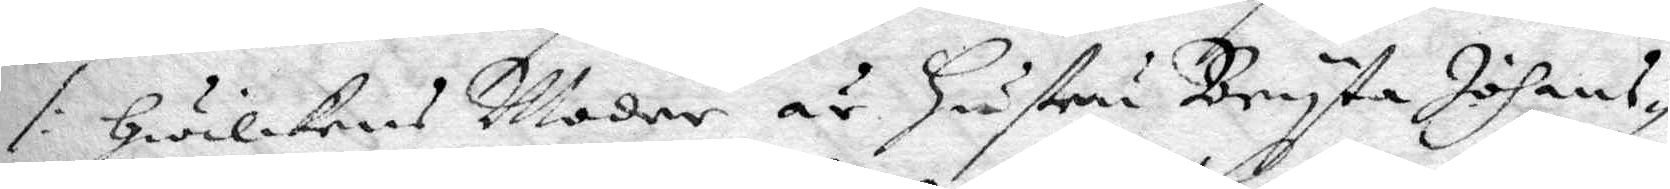/: Hwilkens Moder är Hustru Bryta Johans¬
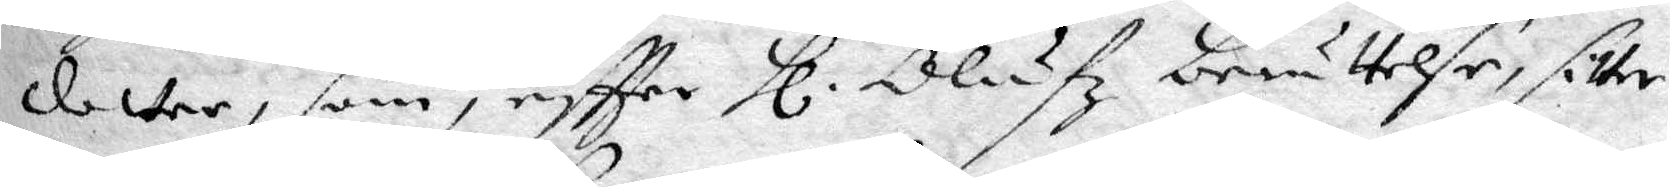dotter, som, eftter Hl. Olufz berättelse, sitter 
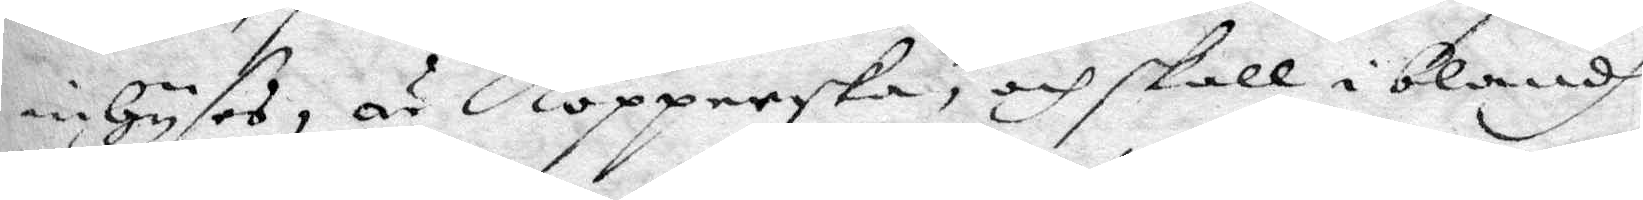inhyses, är Kopperska, och skall iblandh
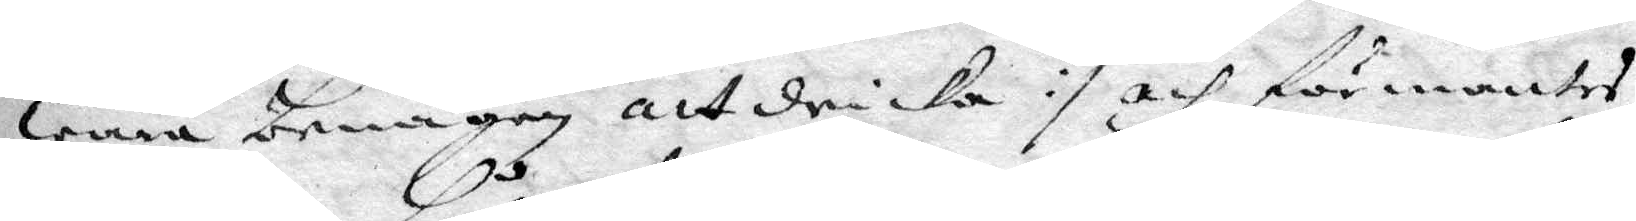wara benågen att dricka :/ och förmantes
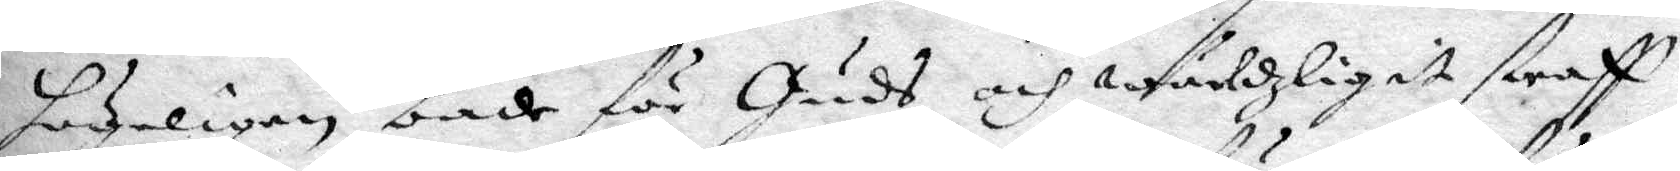hödeligen både för Guds och wärldzligit straff
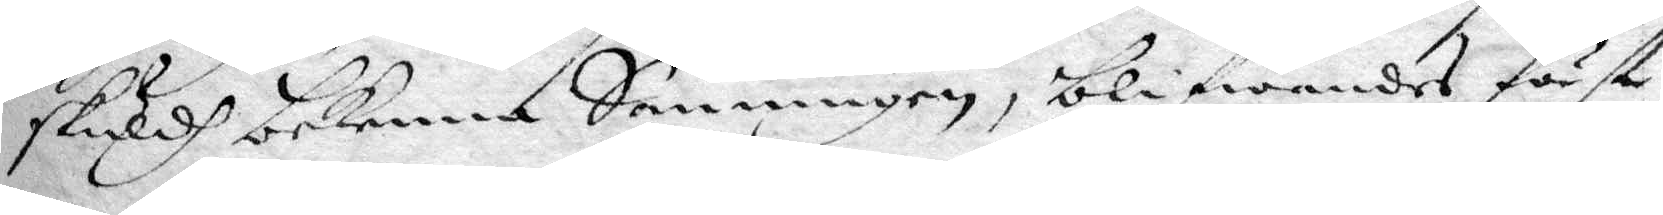skuldh bekenna Sanningen, blifwandes först
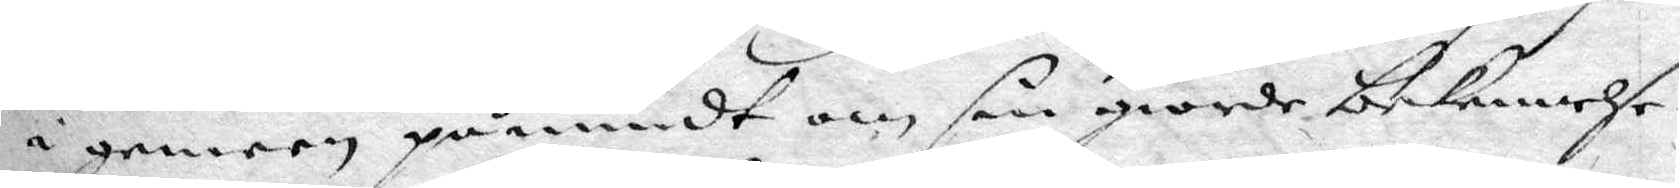i gemeen påmindt om sin giorde bekennelse
